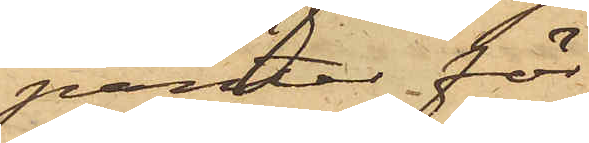panter för
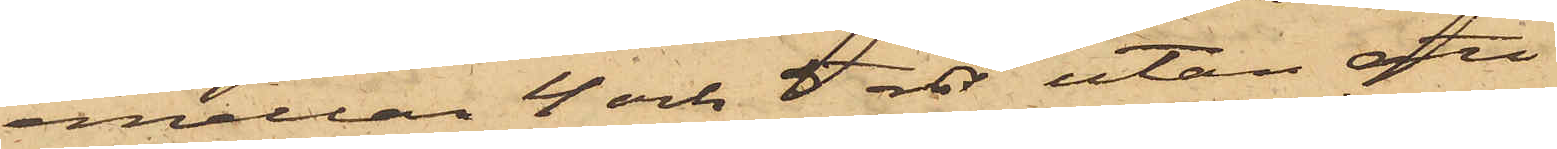emellan 4 och 5 rdr, utan att
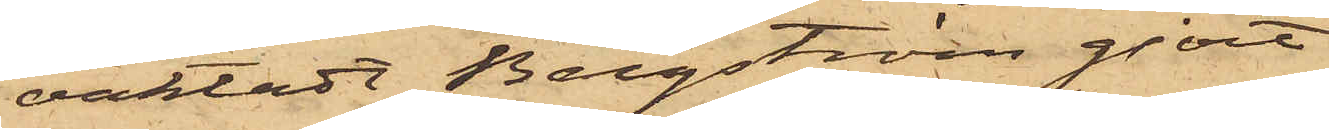, oaktadt Bergström gjort
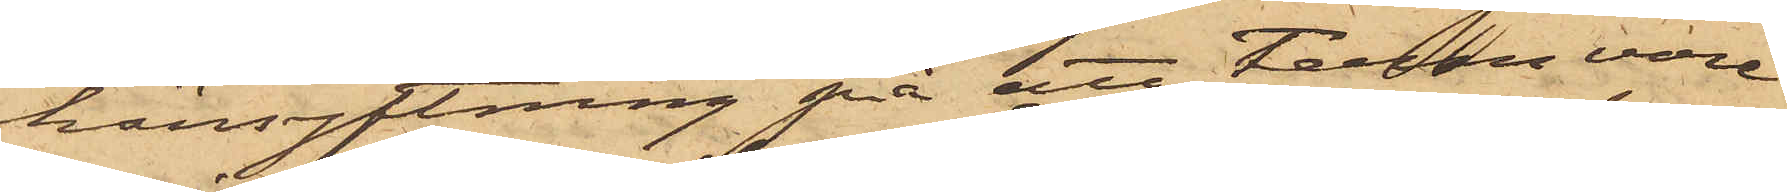hänsyftning på att Ferm vore
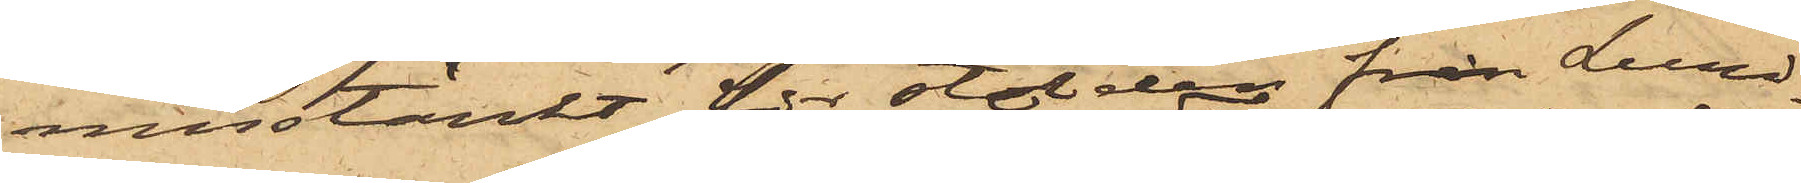misstänkt för stölden från Lund¬
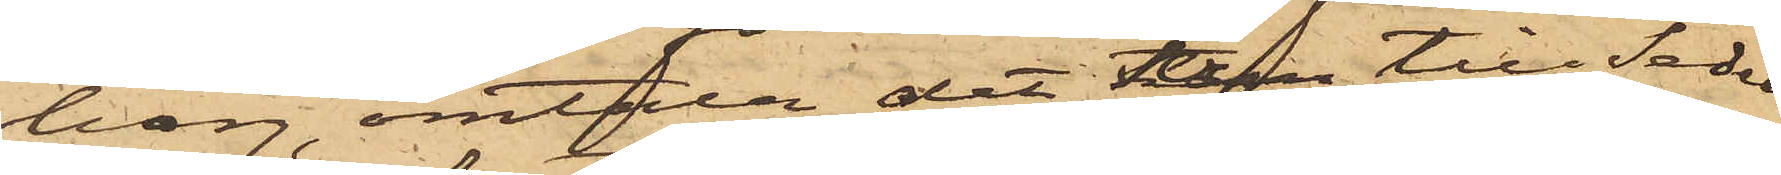berg, omtala det han till Seder¬
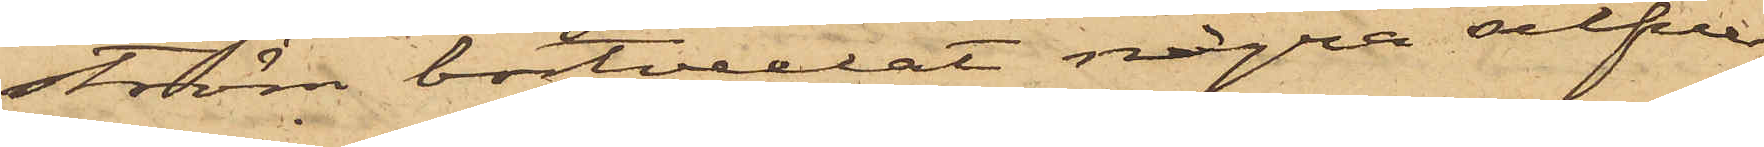ström bortvexlat några silfver¬
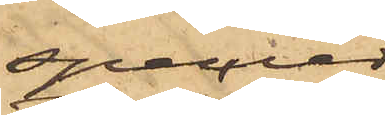specier
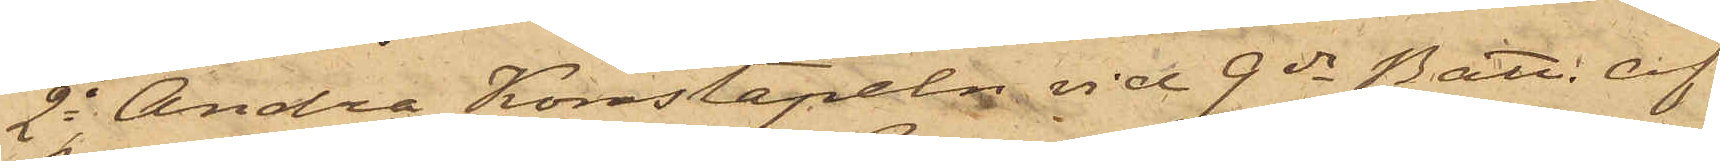2o Andra Konstapeln vid 9de Batt. af
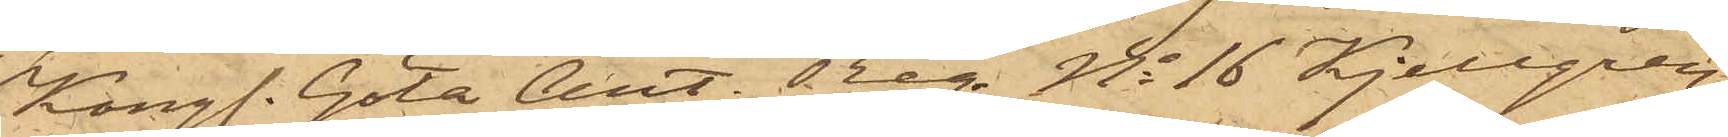Kongl. Göta Art. Reg No 16 Kjellgren,
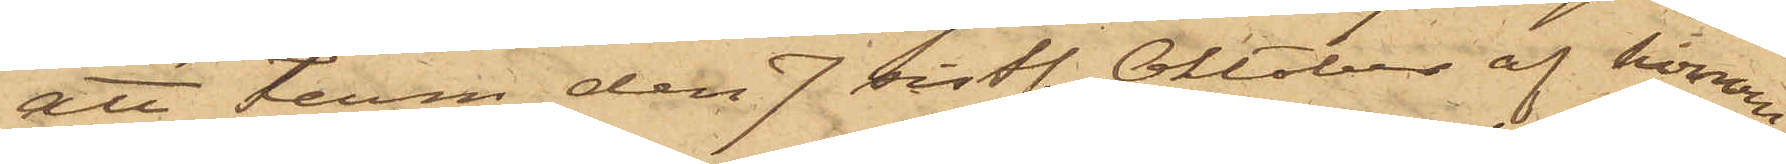att Ferm den 7 sistl. Oktober af honom
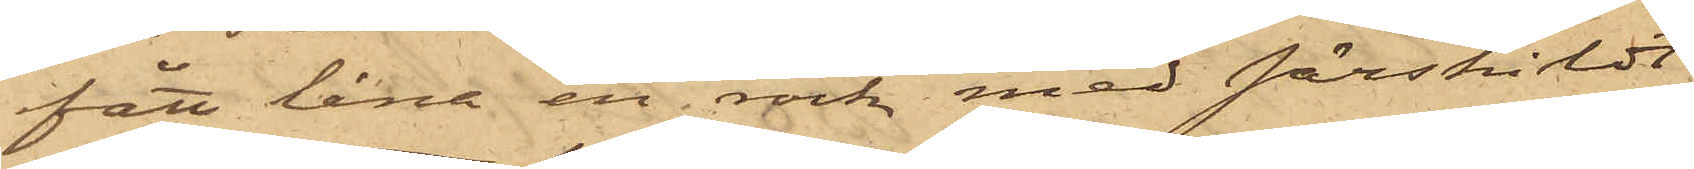fått låna en rock med särskildt
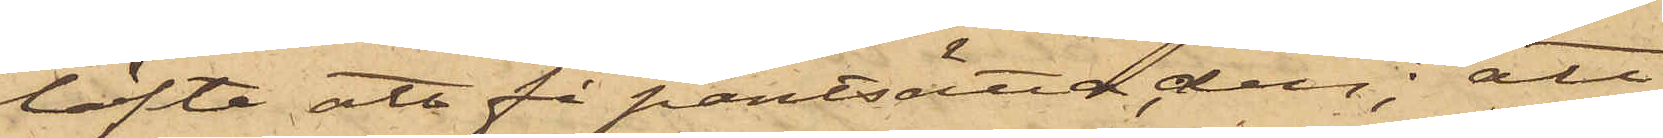löfte att få pantsätta den; att
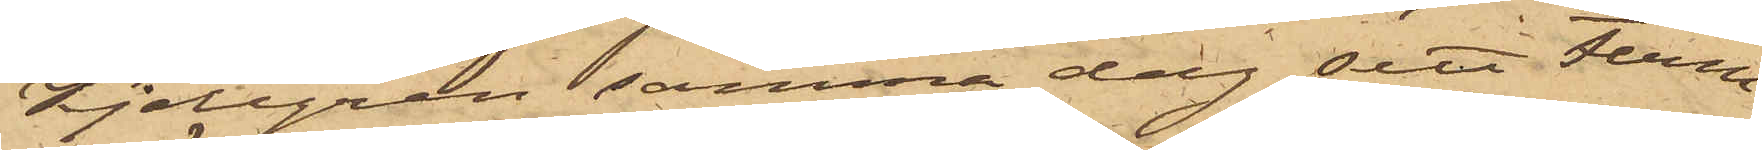Kjellgren samma dag sett Ferm
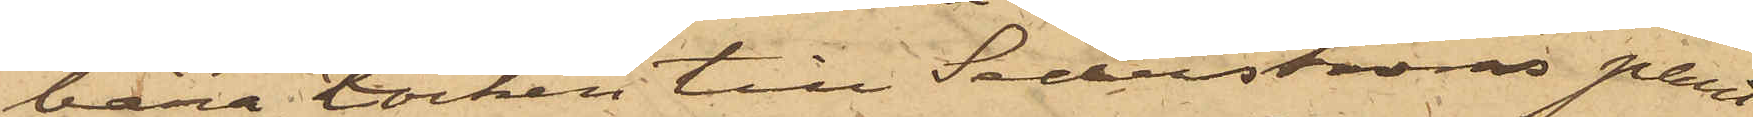bära Rocken till Sederströms pant¬
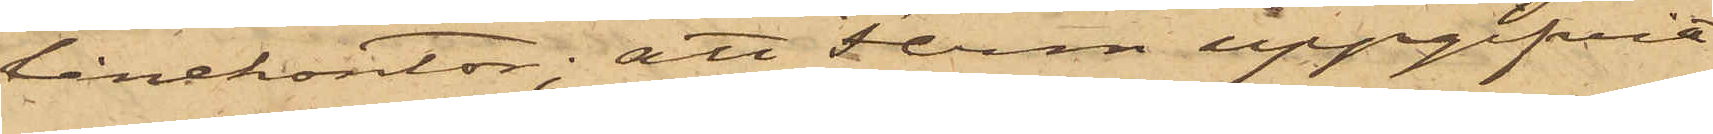lånekontor; att Ferm uppgifvit
